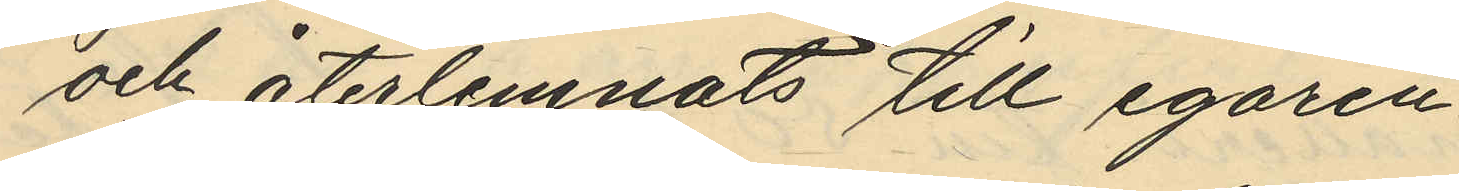och återlemnats till egaren.
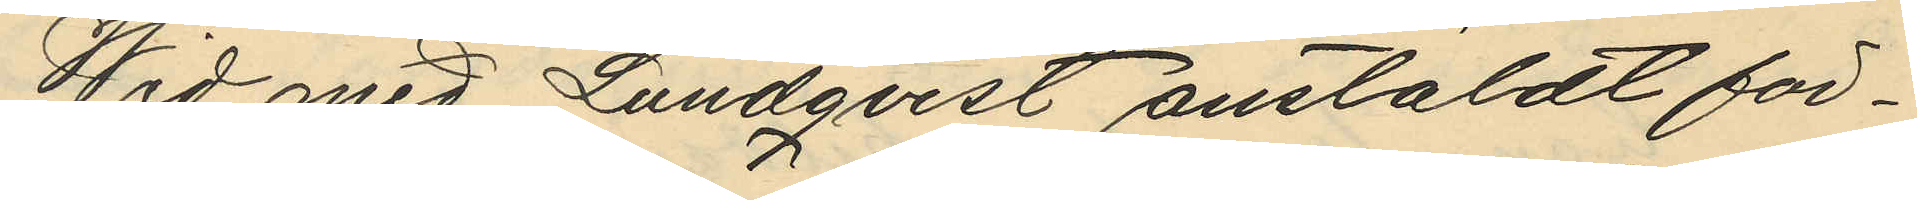Wid med Lundqvist anstäldt för¬
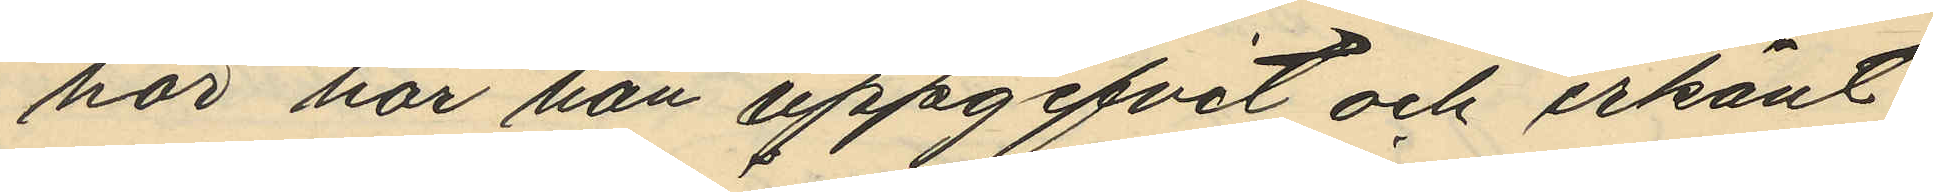hör har han uppgifvit och erkänt
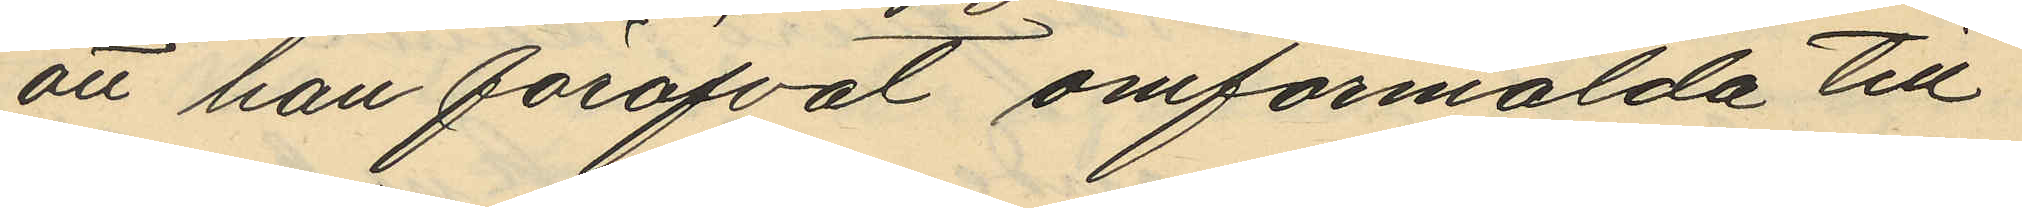att han föröfvat omförmälda till
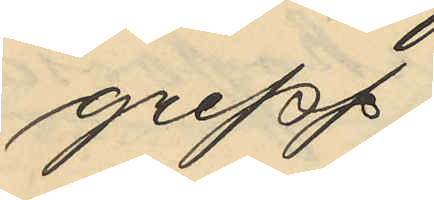grepp,
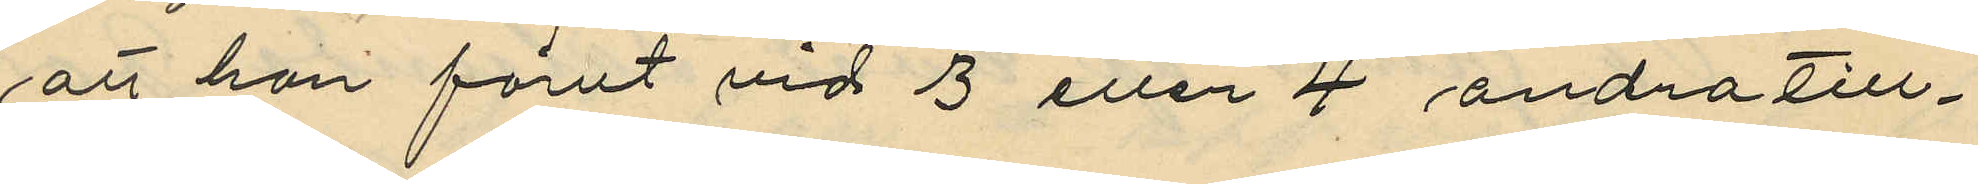att han förut vid 3 eller 4 andra till¬
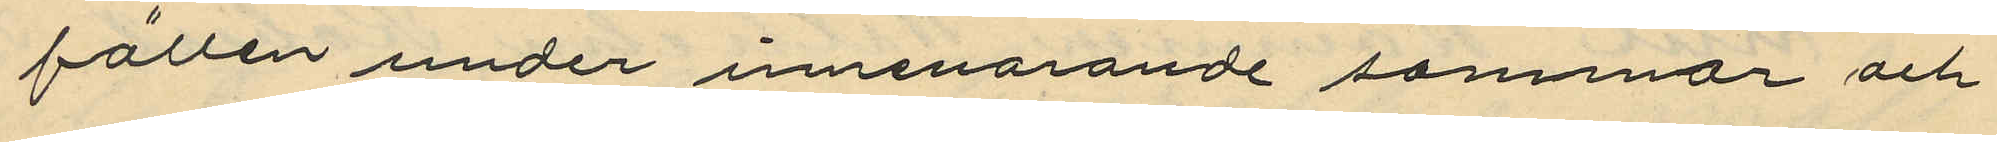fällen under innevarande sommar och
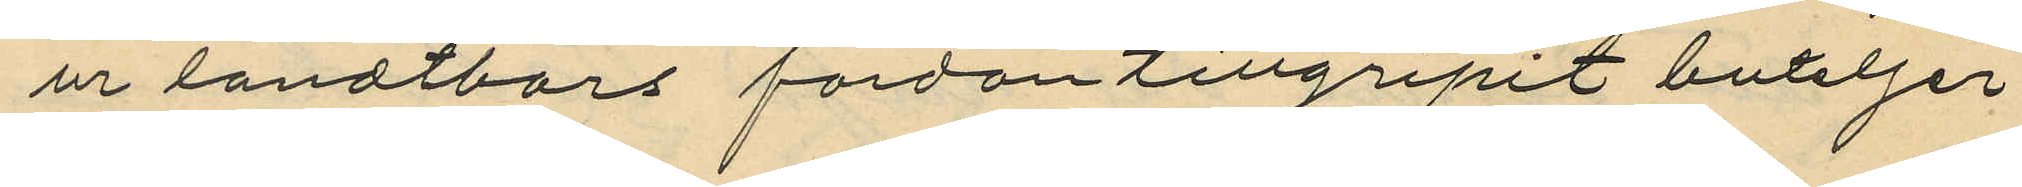ur landtbors fordon tillgripit buteljer
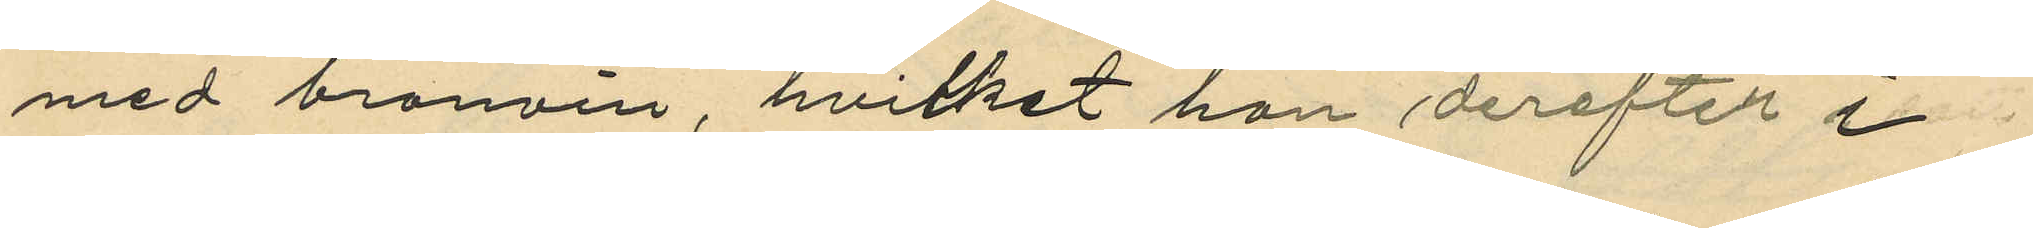med bränvin, hvilket han derefter i
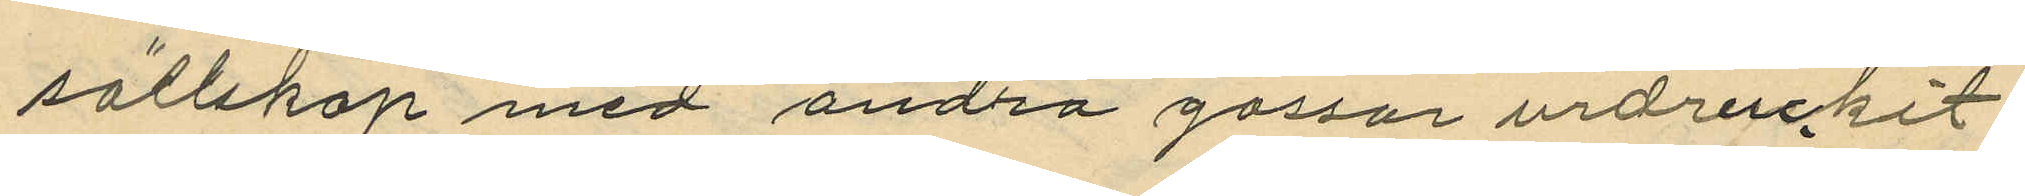sällskap med andra gossar urdruckit
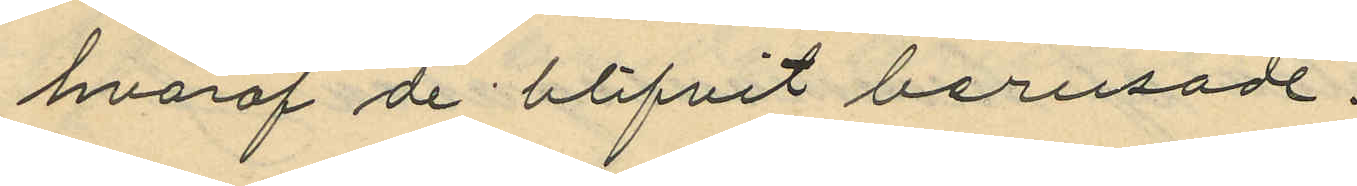hvaraf de blifvit berusade.
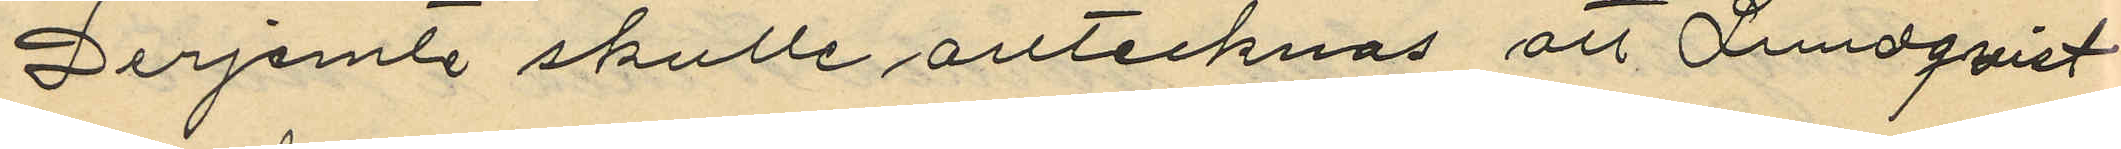Derjemte skulle antecknas att Lundqvist
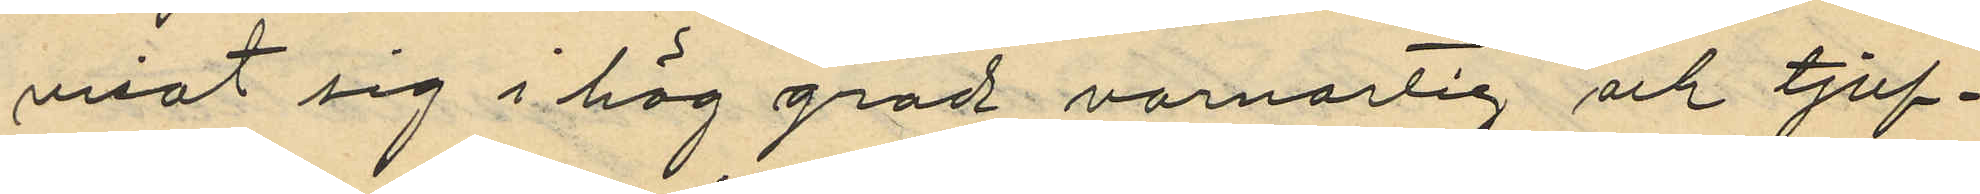visat sig i hög grad varnartig och tjuf¬
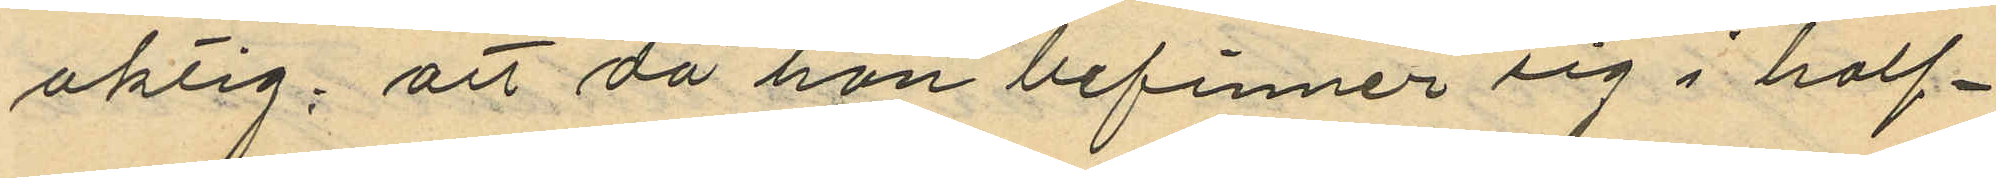aktig; att då han befinner sig i half¬
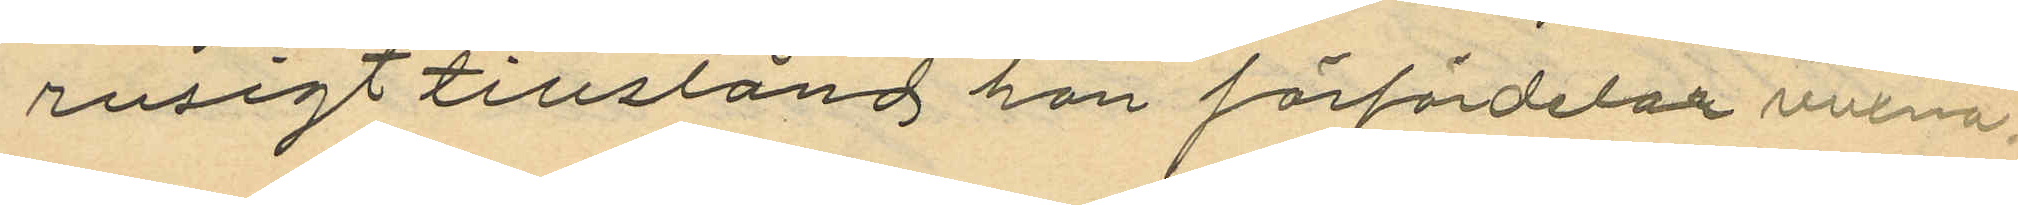rusigt tillstånd han förfördelar vuxna
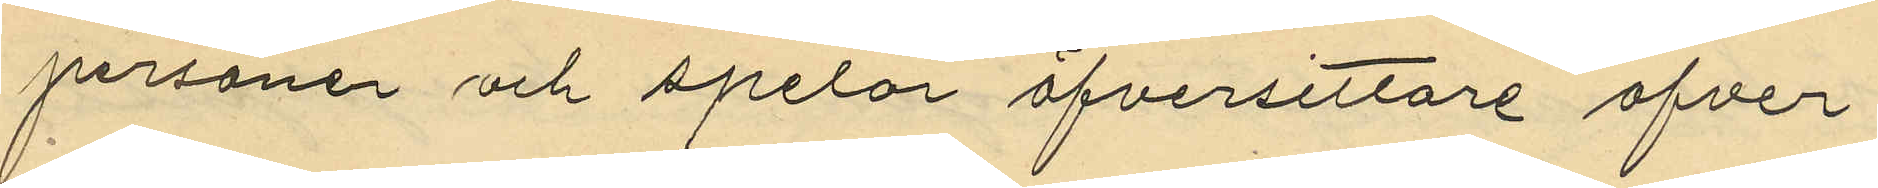personer och spelar öfversittare öfver
